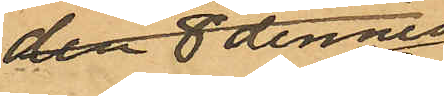den 8 dennes
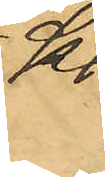Kl
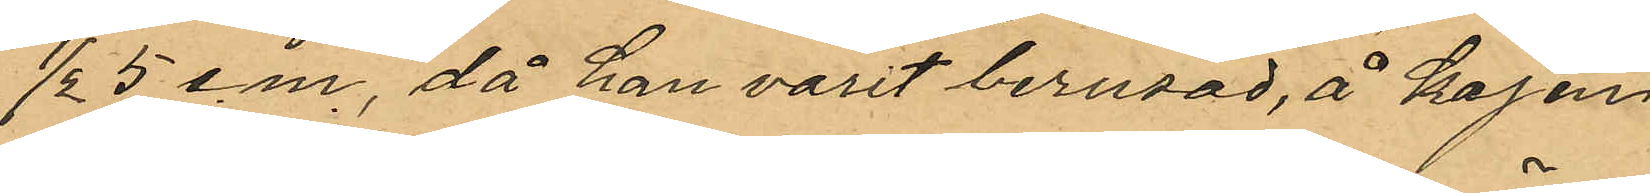½ 5 e.m., då han varit berusad, å kajen
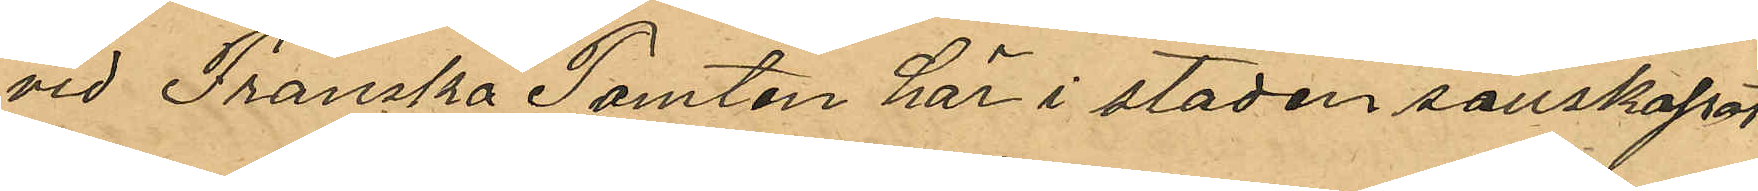vid Franska Tomten här i staden sällskapat
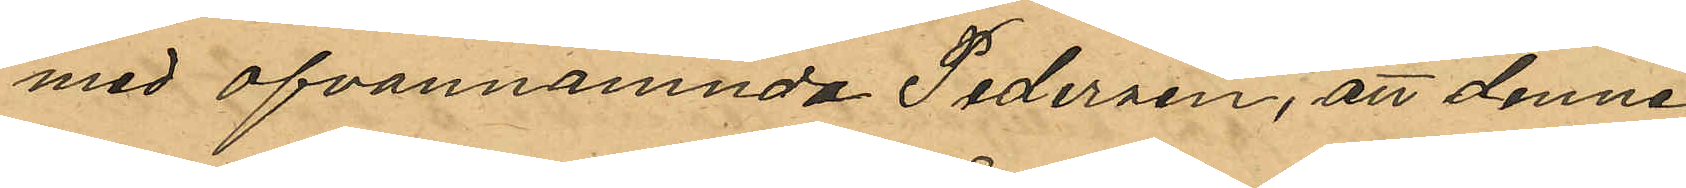med ofvannämnde Pedersen; att denne
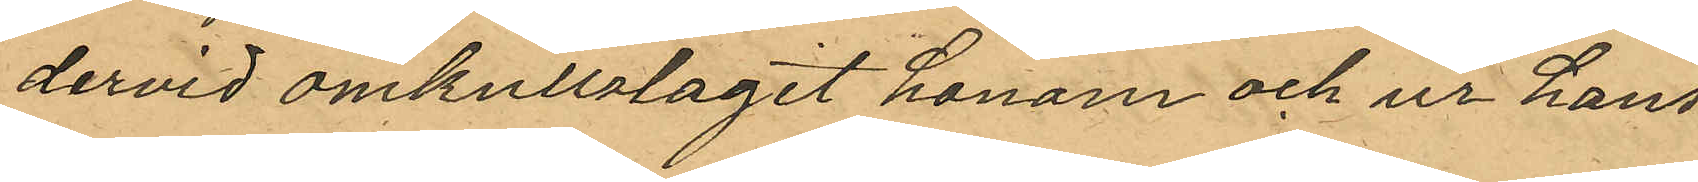dervid omkullslagit honom och ur hans
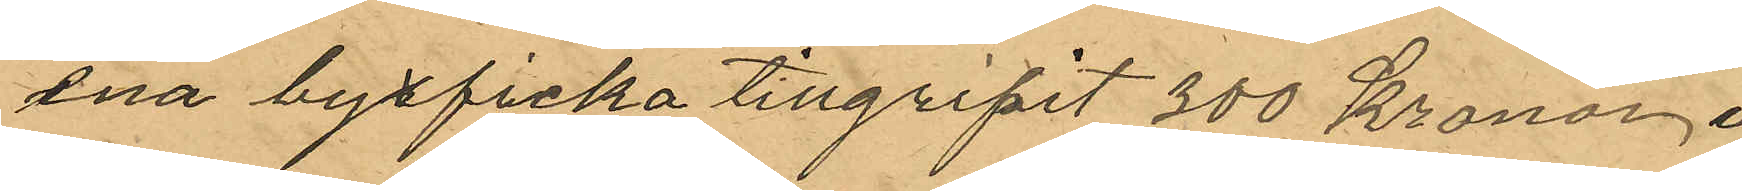ena byxficka tillgripit 300 Kronor, i
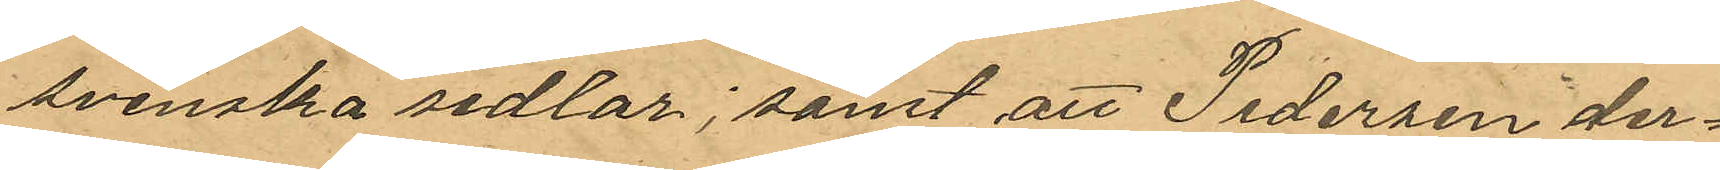svenska sedlar; samt att Pedersen der¬
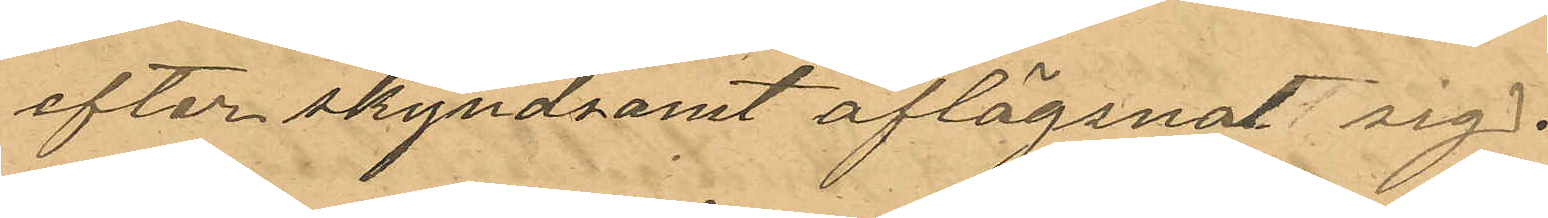efter skyndsamt aflägsnat sig.
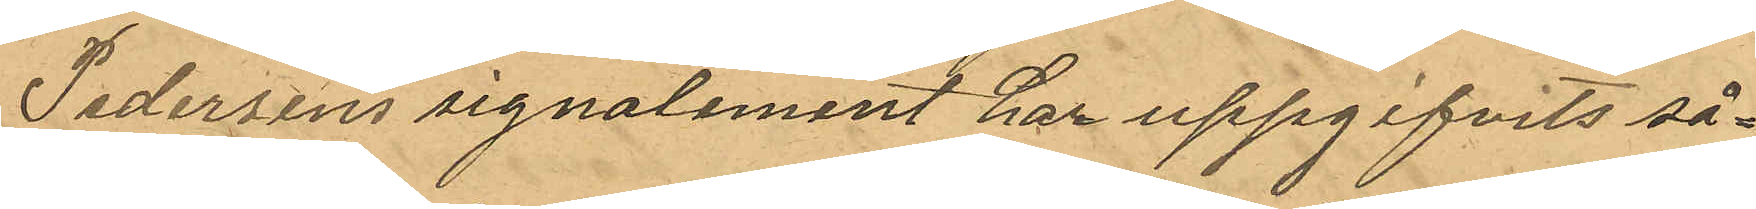Pedersens signalement har uppgifvit så-
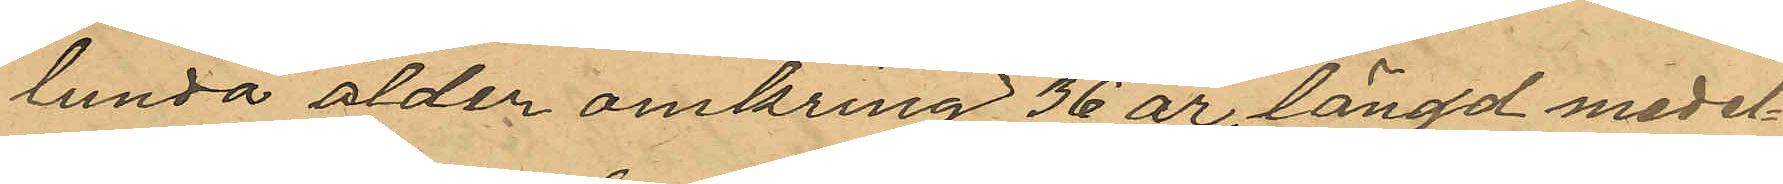lunda ålder omkring 36 år, längd medel¬
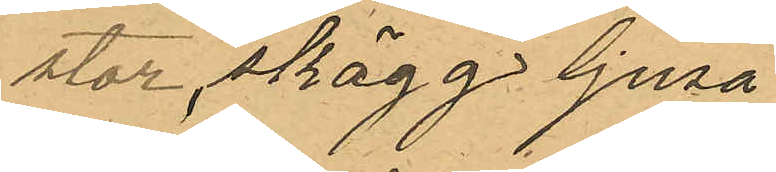stor, skägg, ljusa 
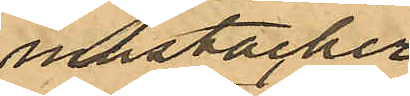mustascher,
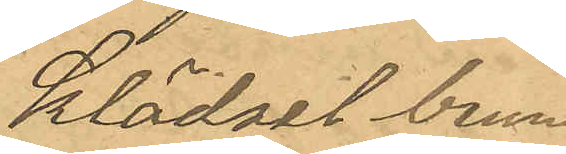klädsel brun
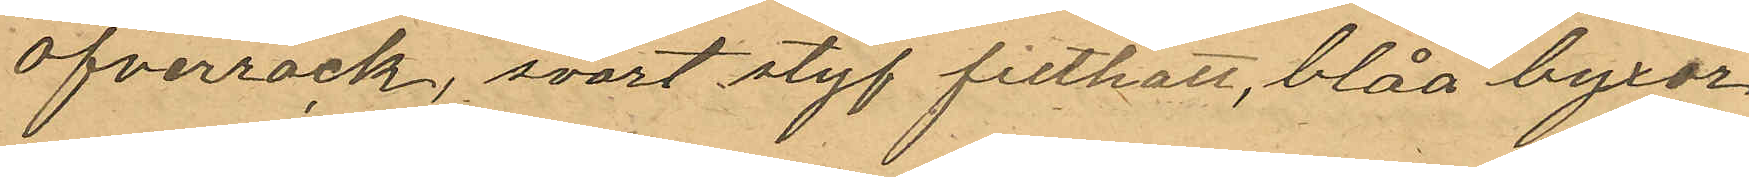öfverrock, svart styf filthatt, blåa byxor
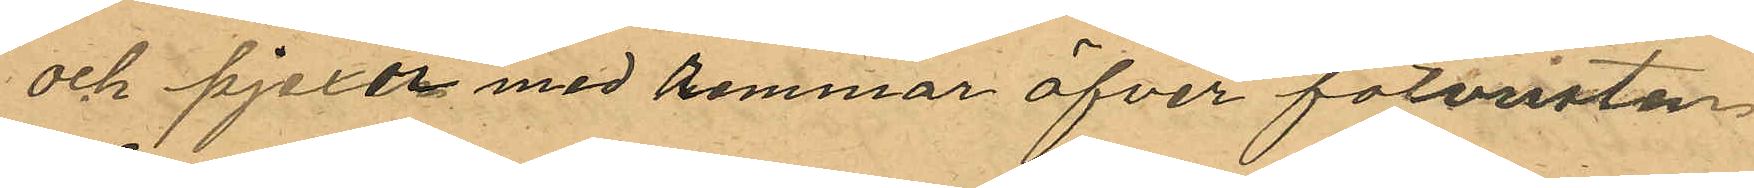och pjexor med remmar öfver fotvristen,
